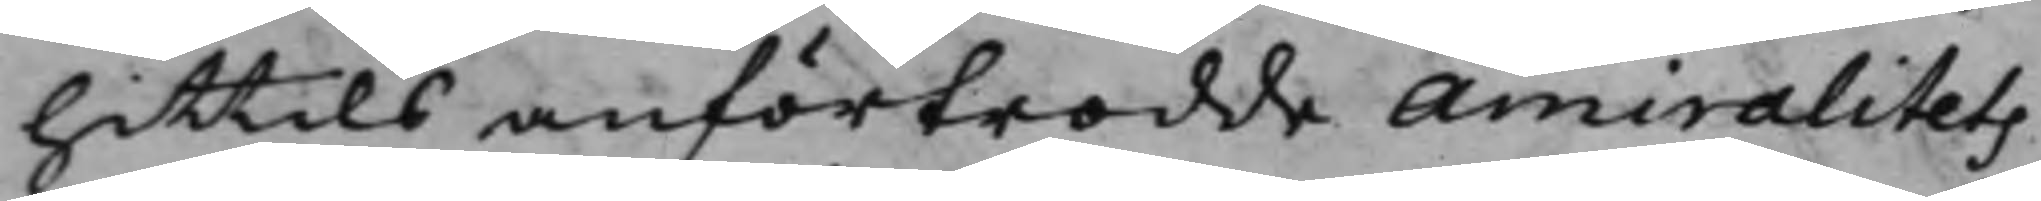hitttils anförtrodde Amiralitets¬
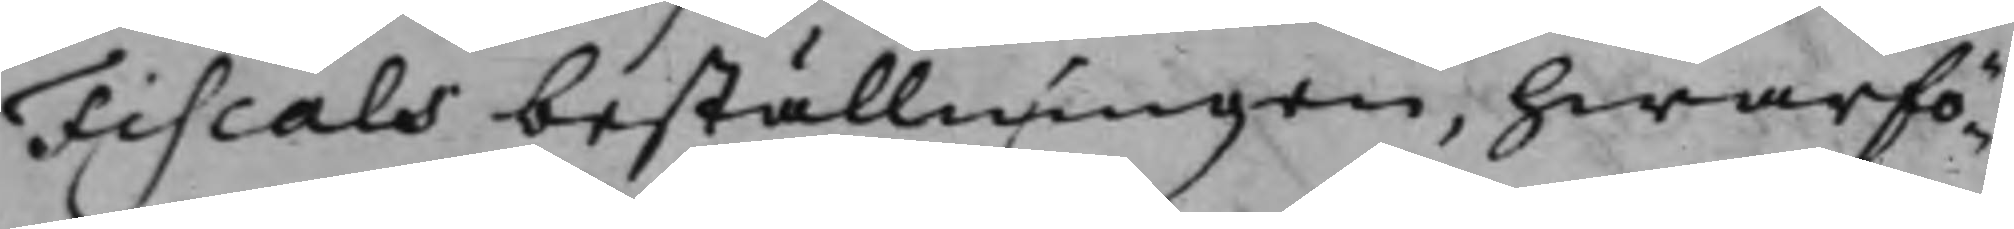Fiscals beställningen, hwarfö¬
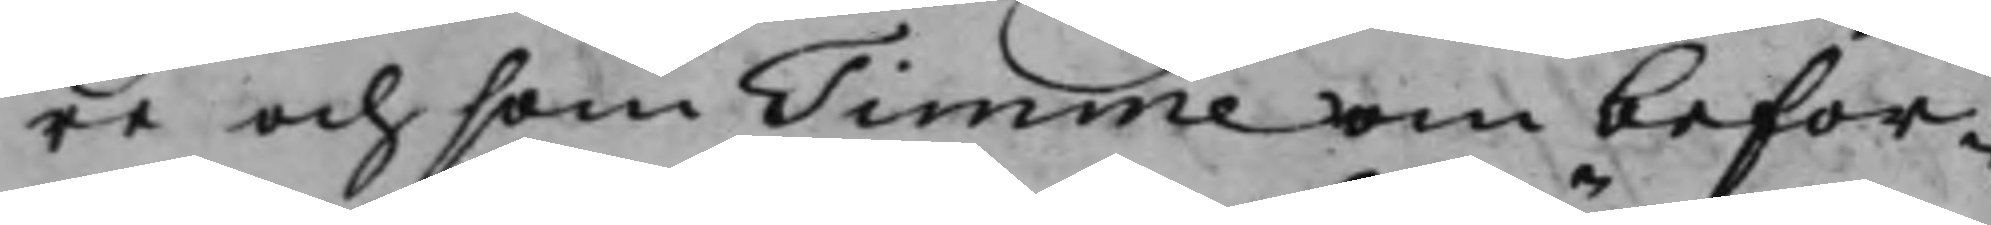re och som Timme om befor¬
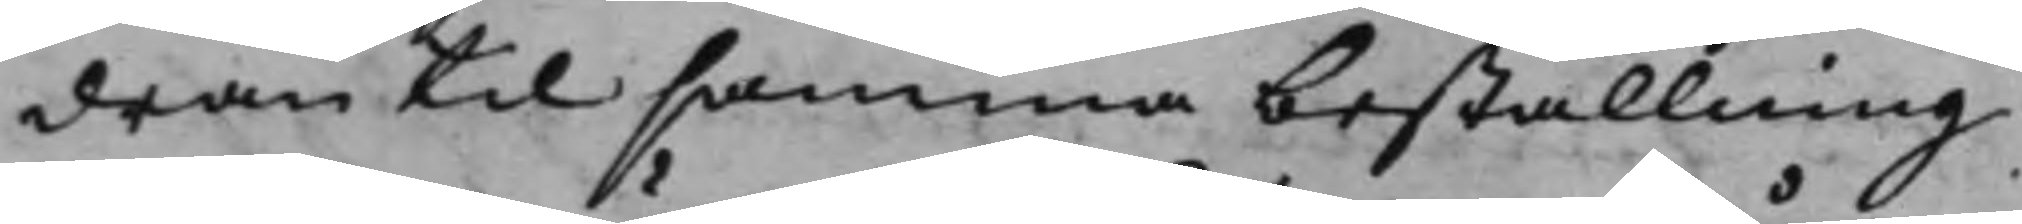dran til samma beställning
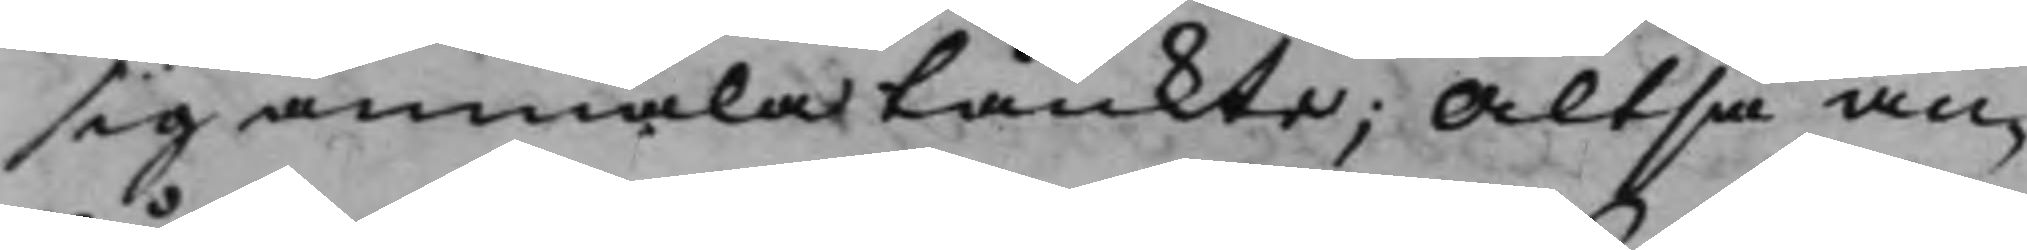sig anmäla tänkte; Altså an¬
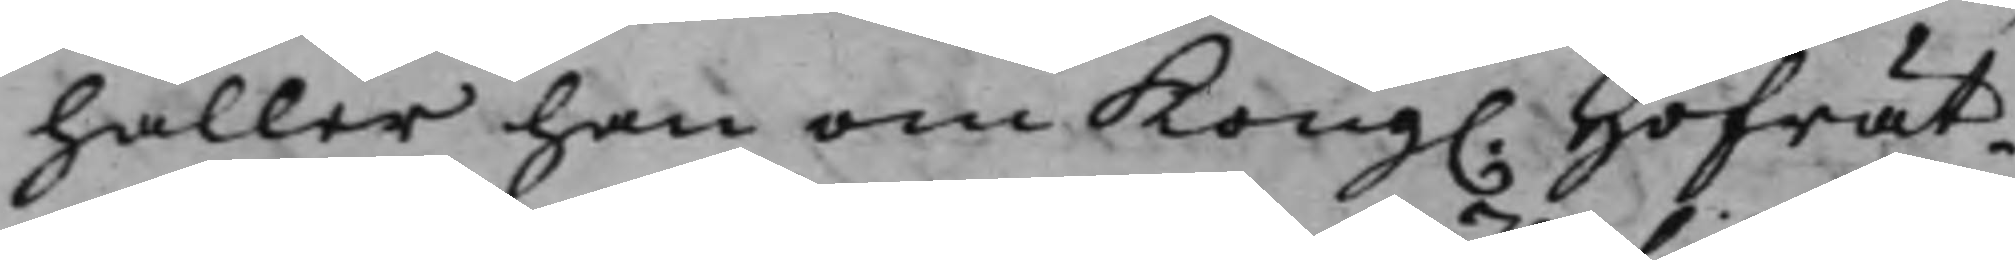håller han om Kong. Hofrät¬
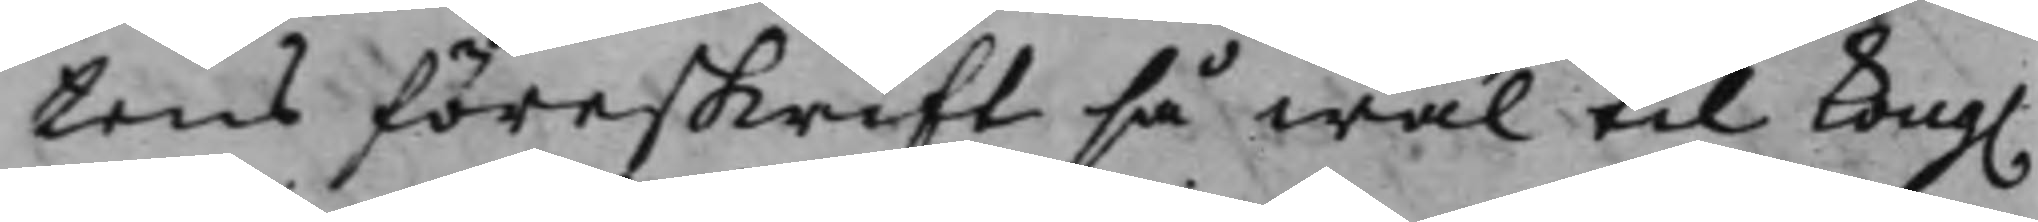rens föreskrift så wäl til Kong.
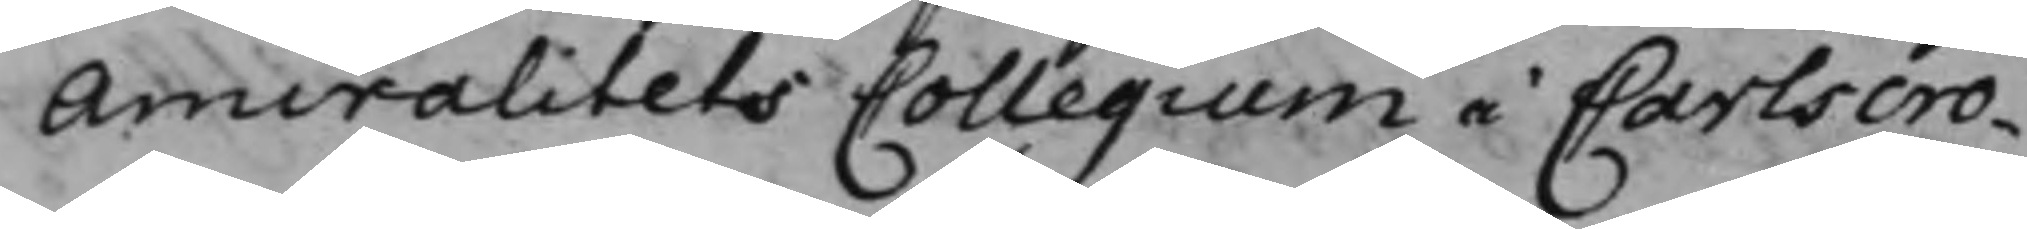Amiralitets Collegium i Carlscro¬
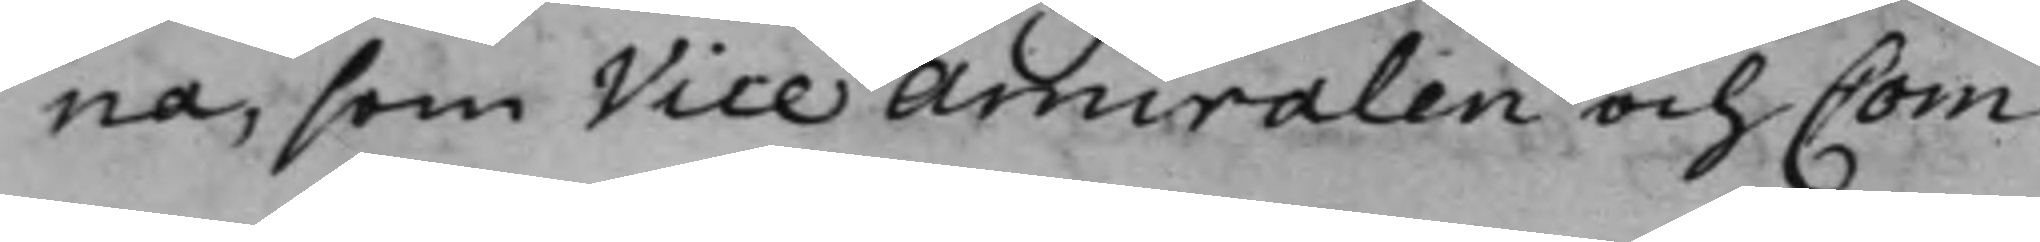na, som Vice Amiralen och Com¬
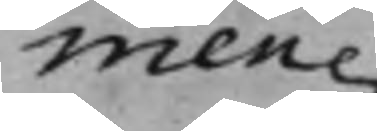men¬
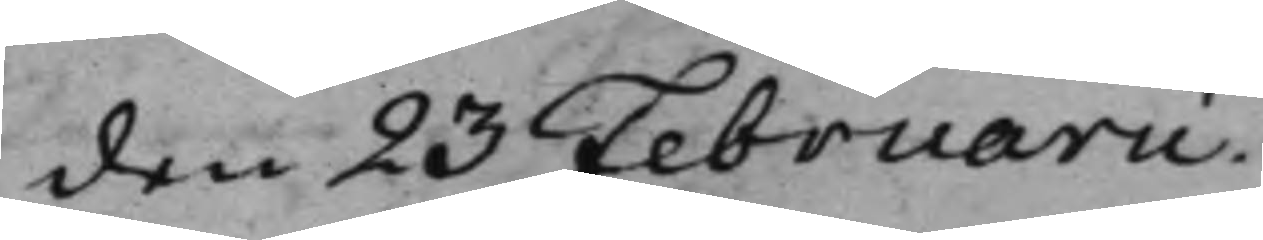den 23 Februarii.
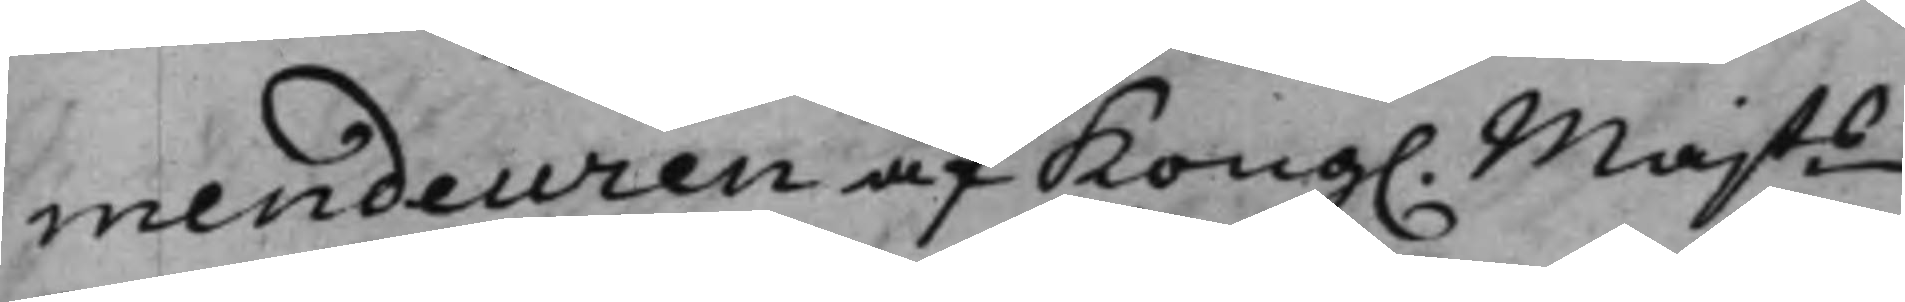mendeuren af Kong. Majts
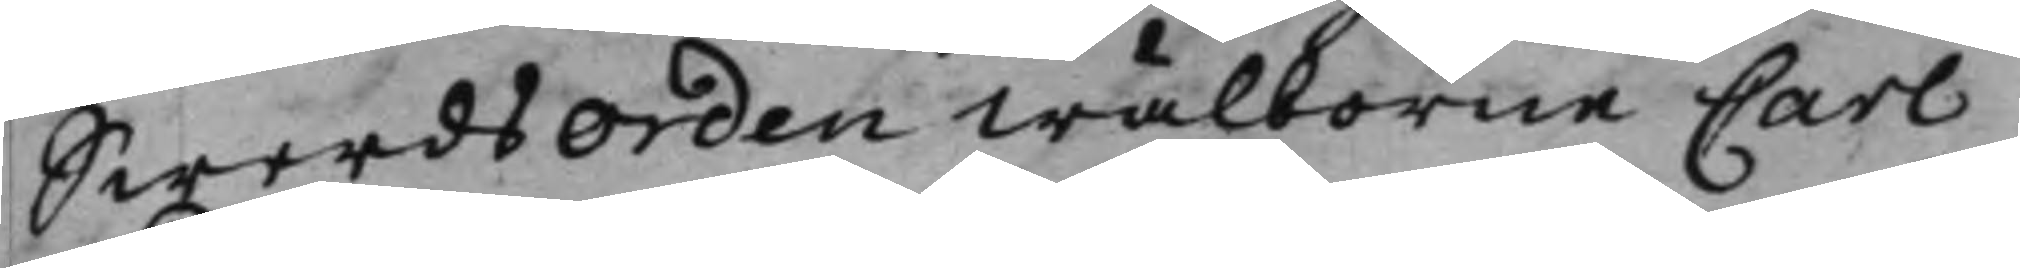Swerdsorden Wälborne Carl
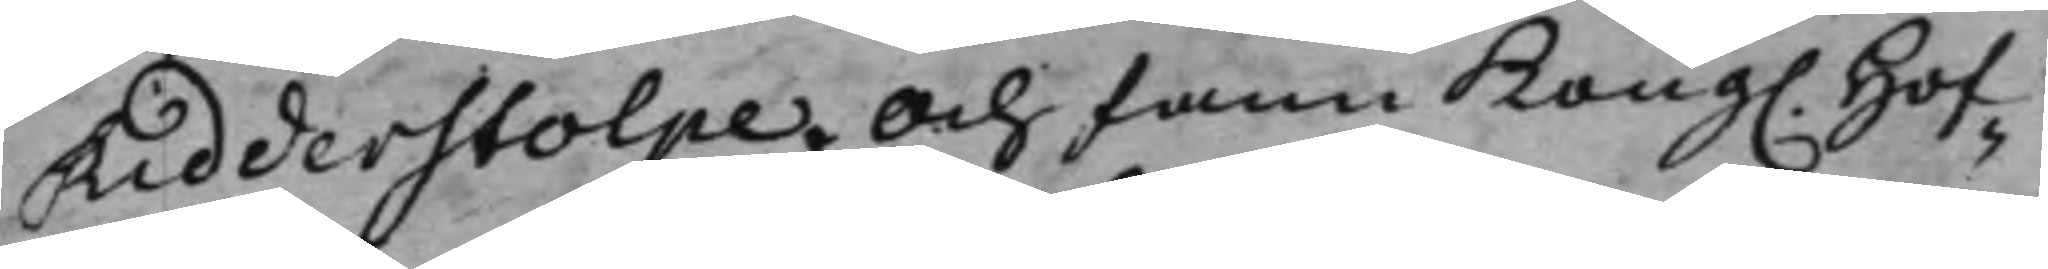Ridderstolpe. Och fann Kong. Hof¬
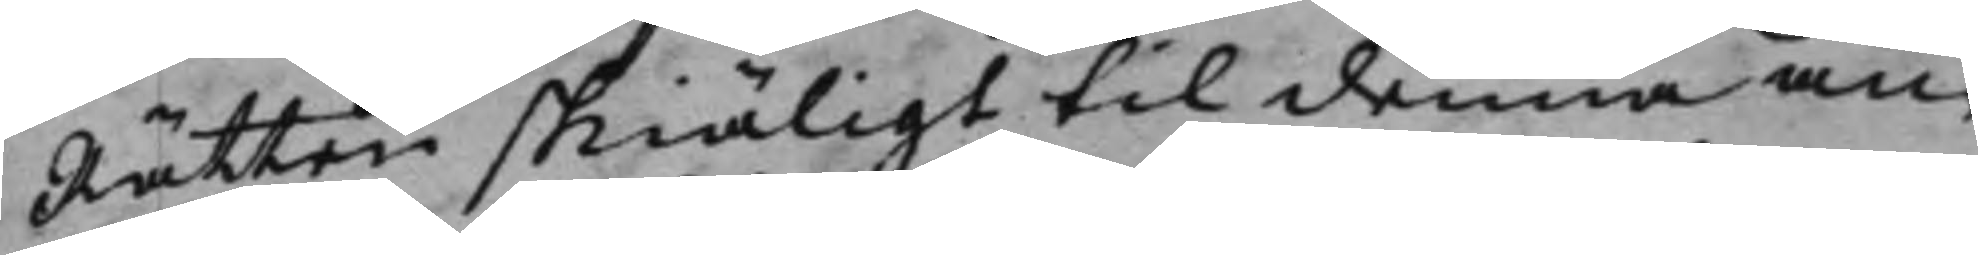Rätten skiäligt til denna an¬
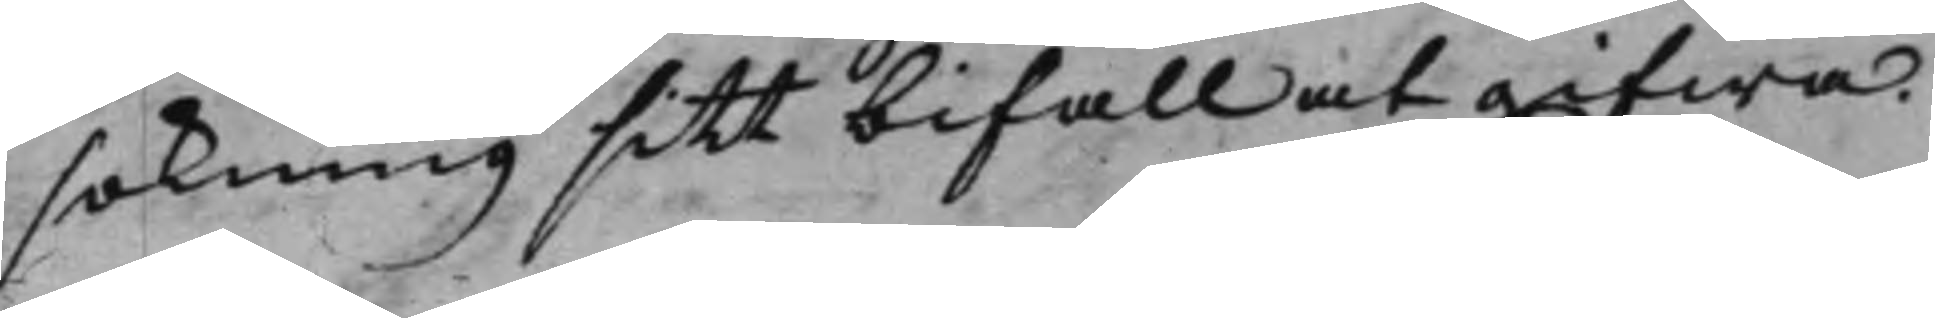sökning sitt bifall at gifwa.
